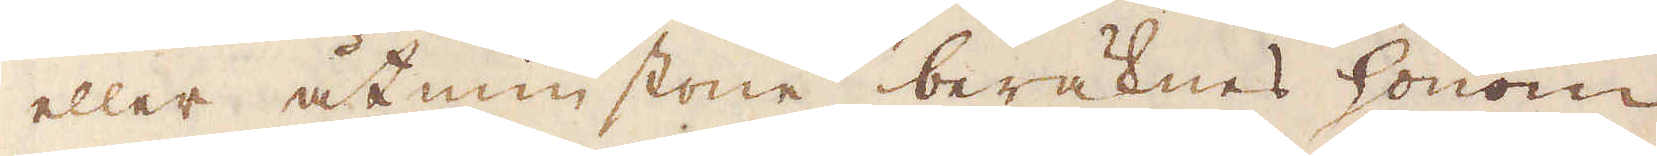eller åtminstone beräknes honom
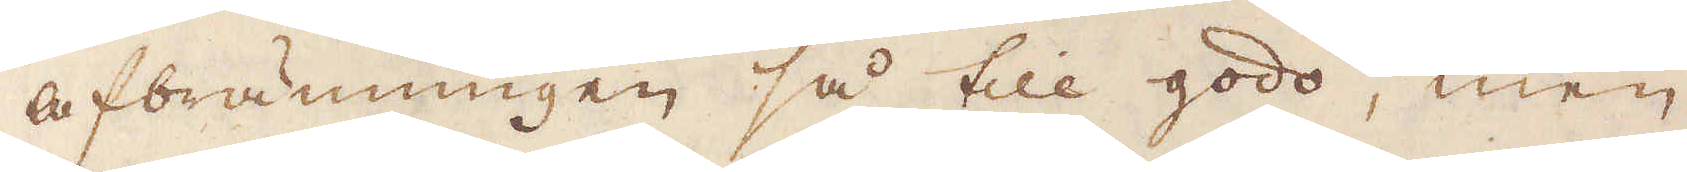afbränningen så till godo, men
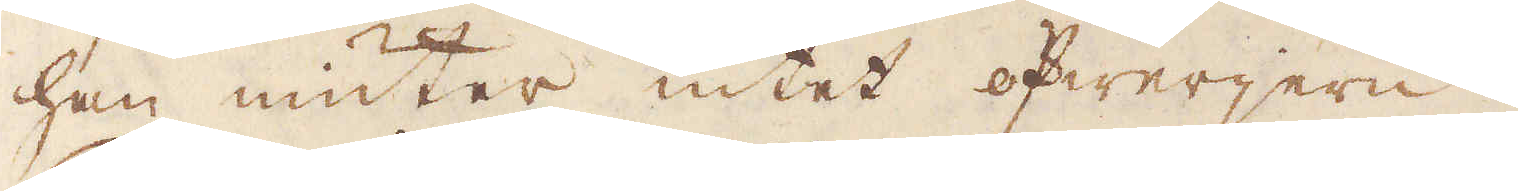han niuter intet öfwerjern.
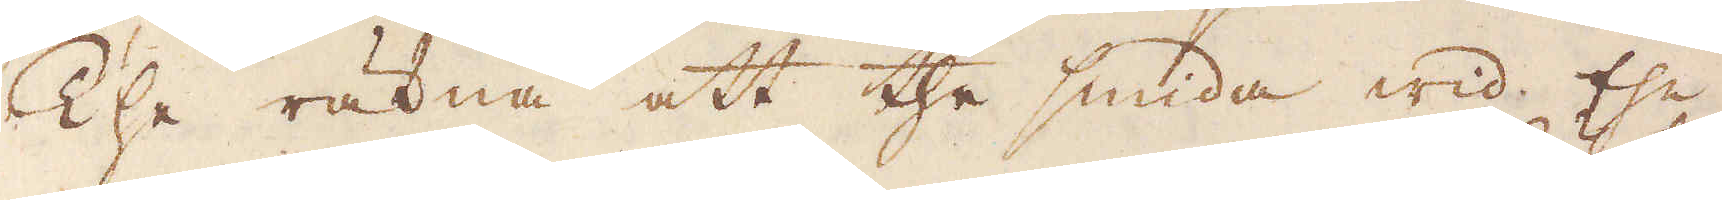The räkna att the smida wid the
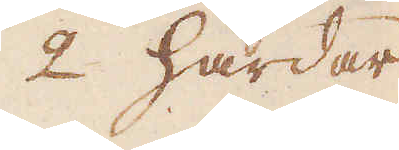2 härdar
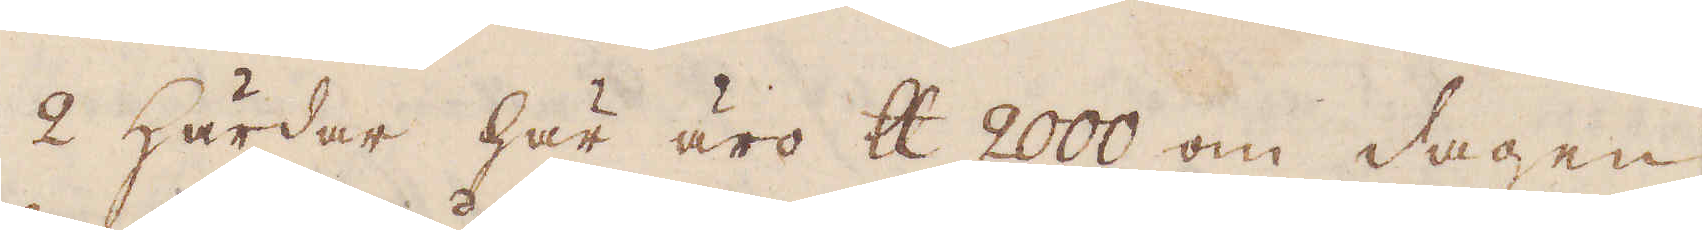2 Härdar här äro skålpund 2000 om dagen,
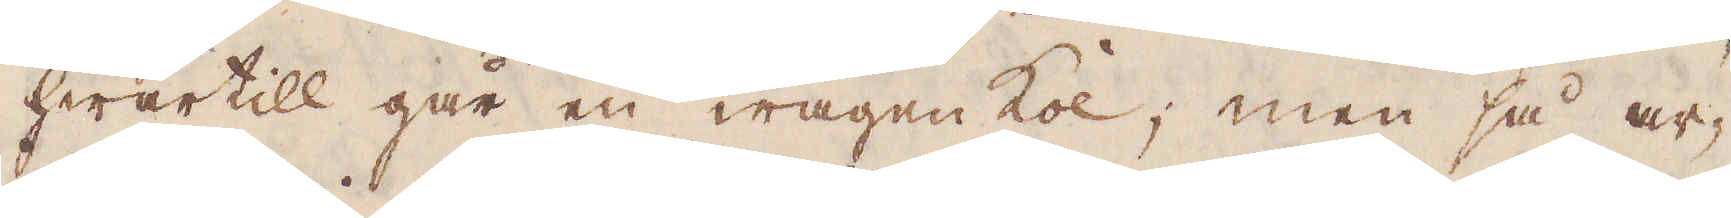hwartill går en wagen kol; men så ar-
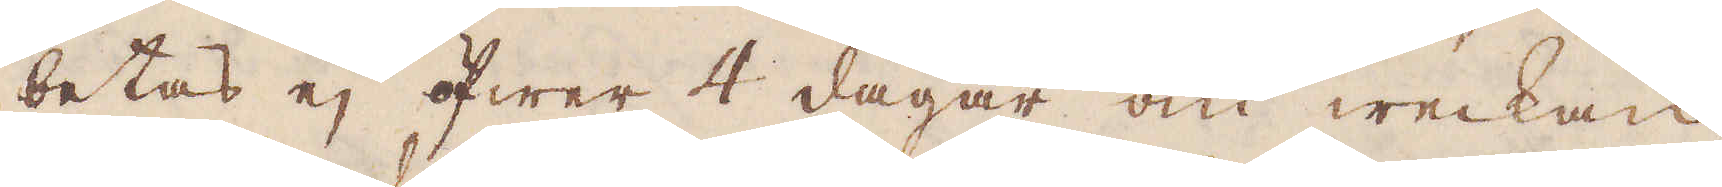betas ej öfwer 4 dagar om weckan,
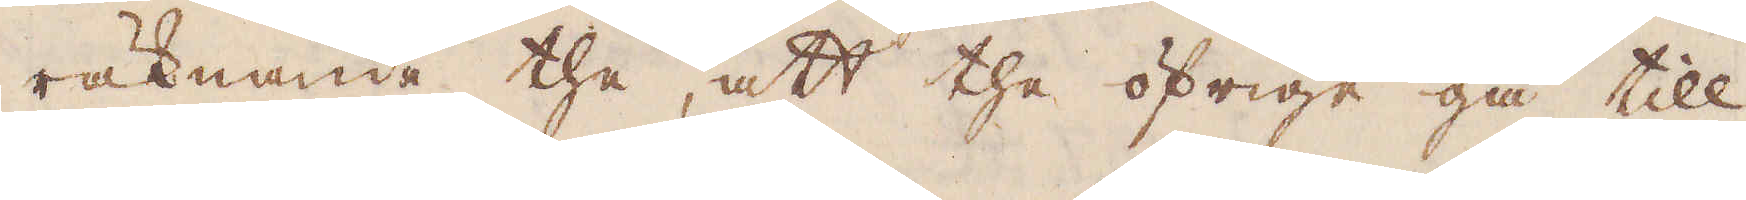räknande the, att the öfrige gå till
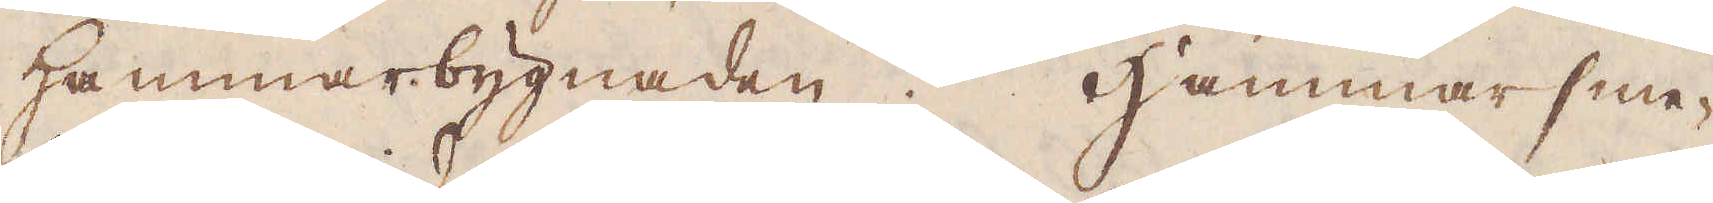Hammarbygnaden. Hammarsme-
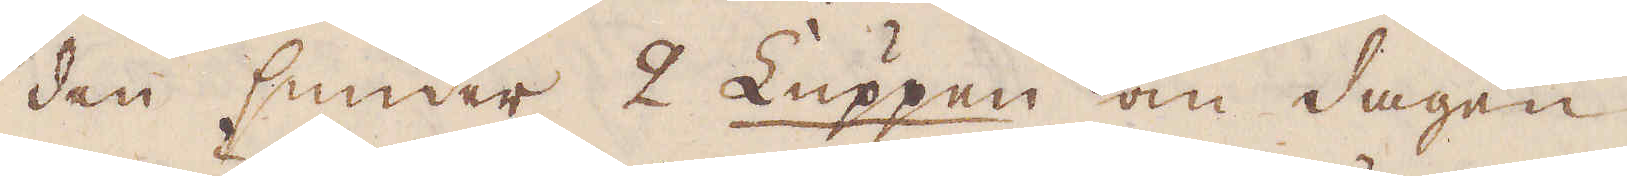den smider 2 Luppen om dagen,
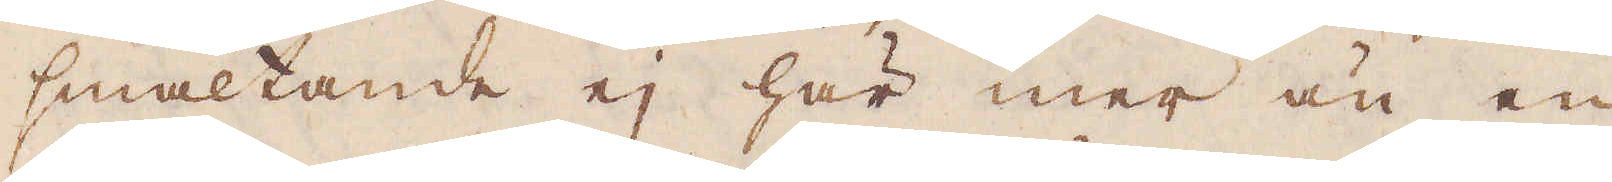smältande ej här mer än en
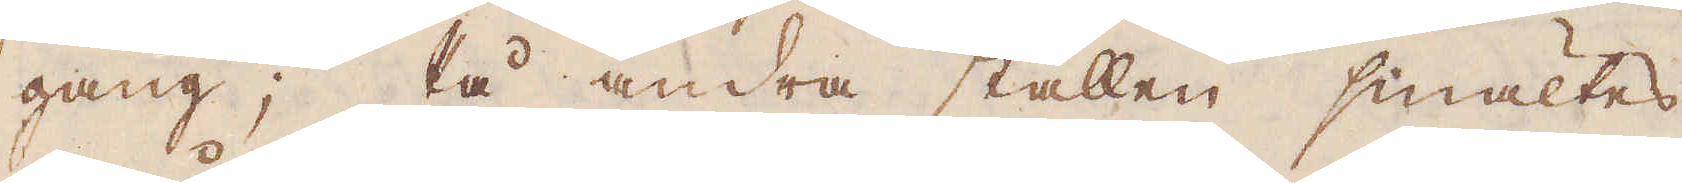gång; På andra ställen smältes
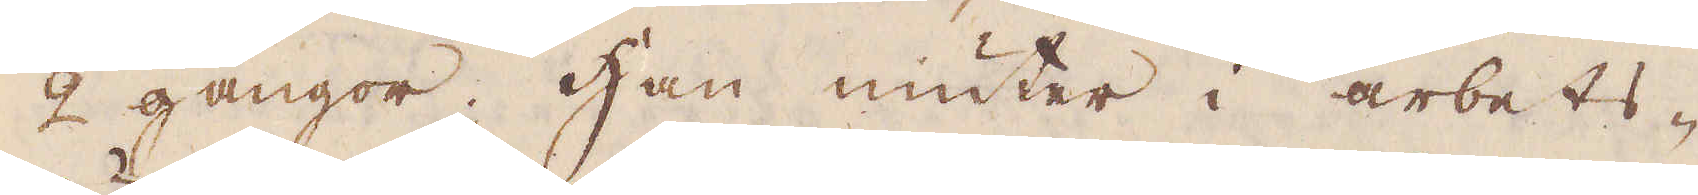2 gångor. Han niuter i arbets-
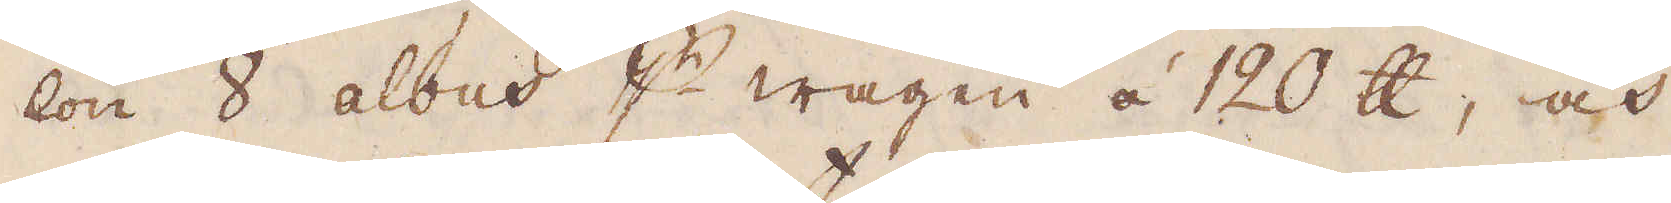lön 8 albus p wagen à 120 skålpund, och
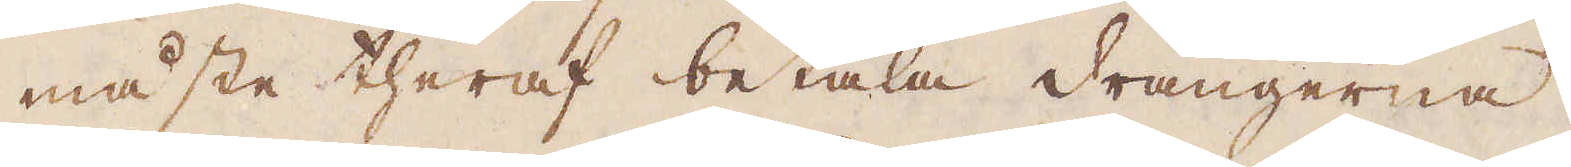måste theraf betala drängerna,
